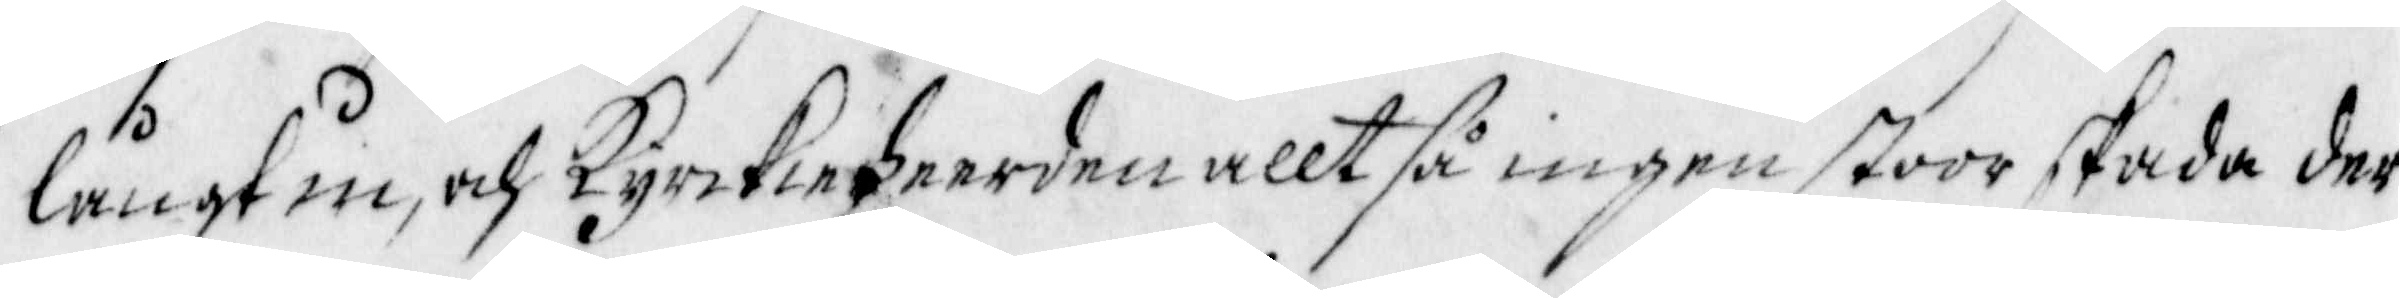långt in, och kyrkieheerden alltså ingen stoor skada der
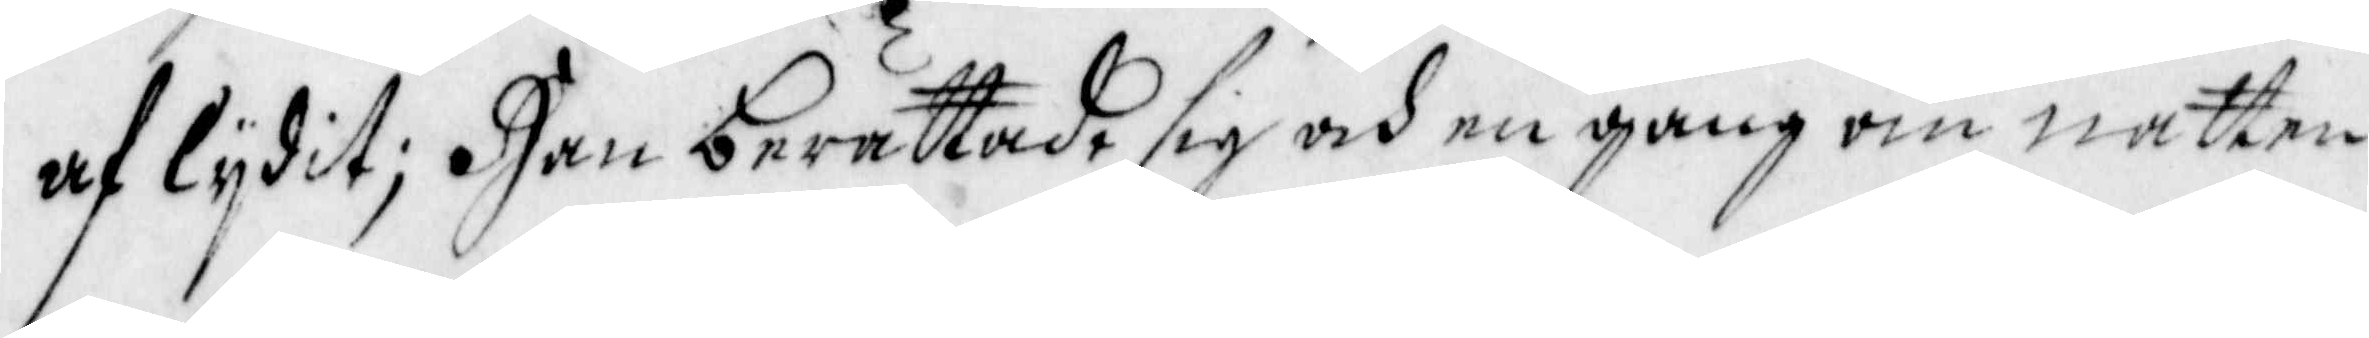af lydit; Han berättade sig en gång om natten
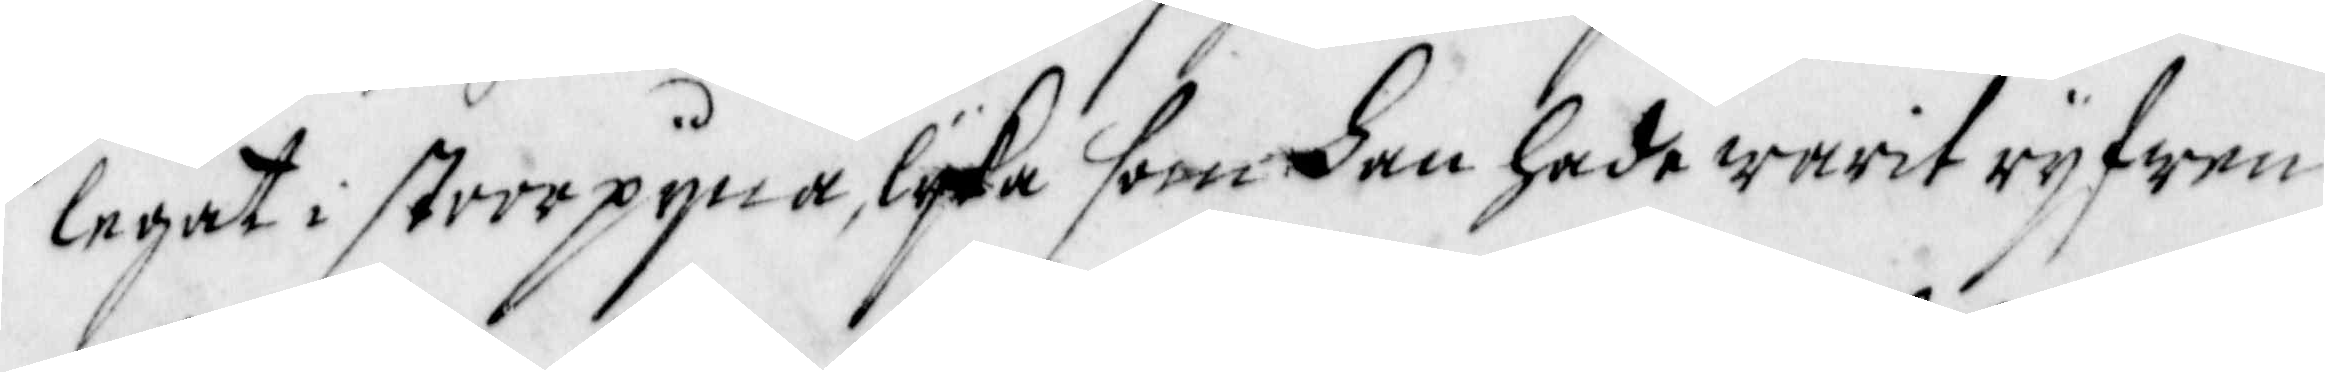legat i stoor pyna, lyka som han hade warit ryfwen
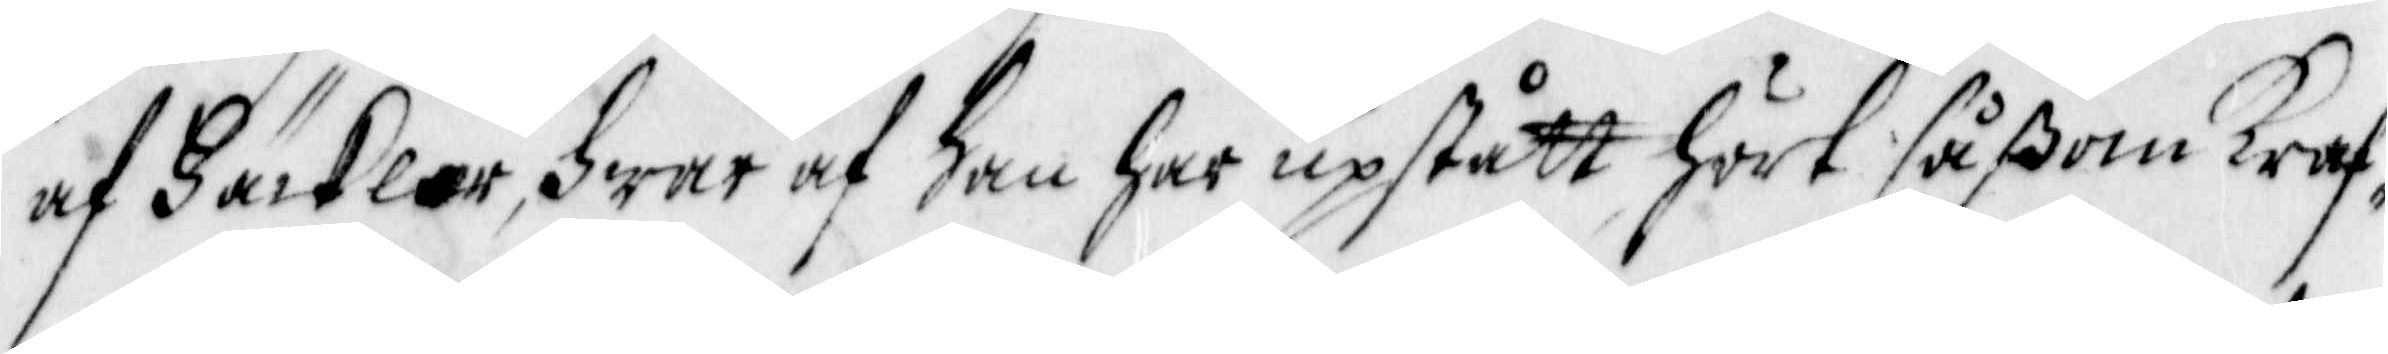af Häcklar, hwar af han har uppstått hört såßom Kraf¬
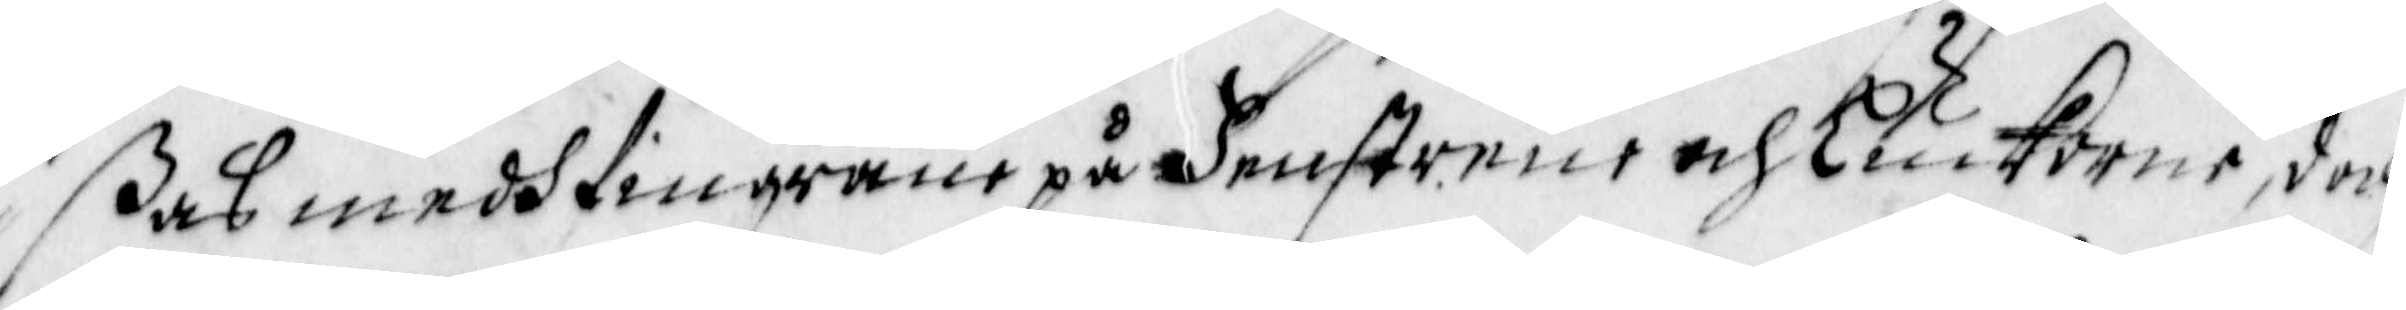ßas medh fingrane på Fenstrene och Luckorne, doch
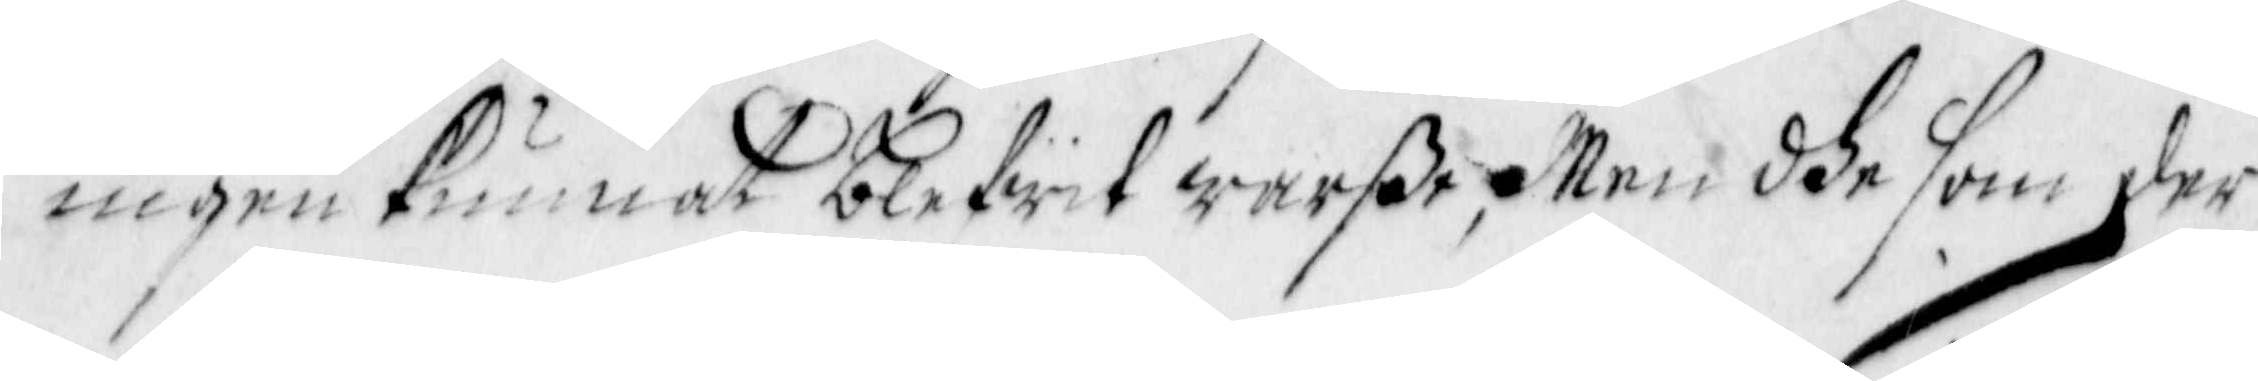ingen kunnat blifwit warße, Men dhe som der 
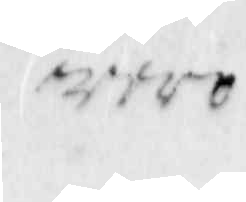woro
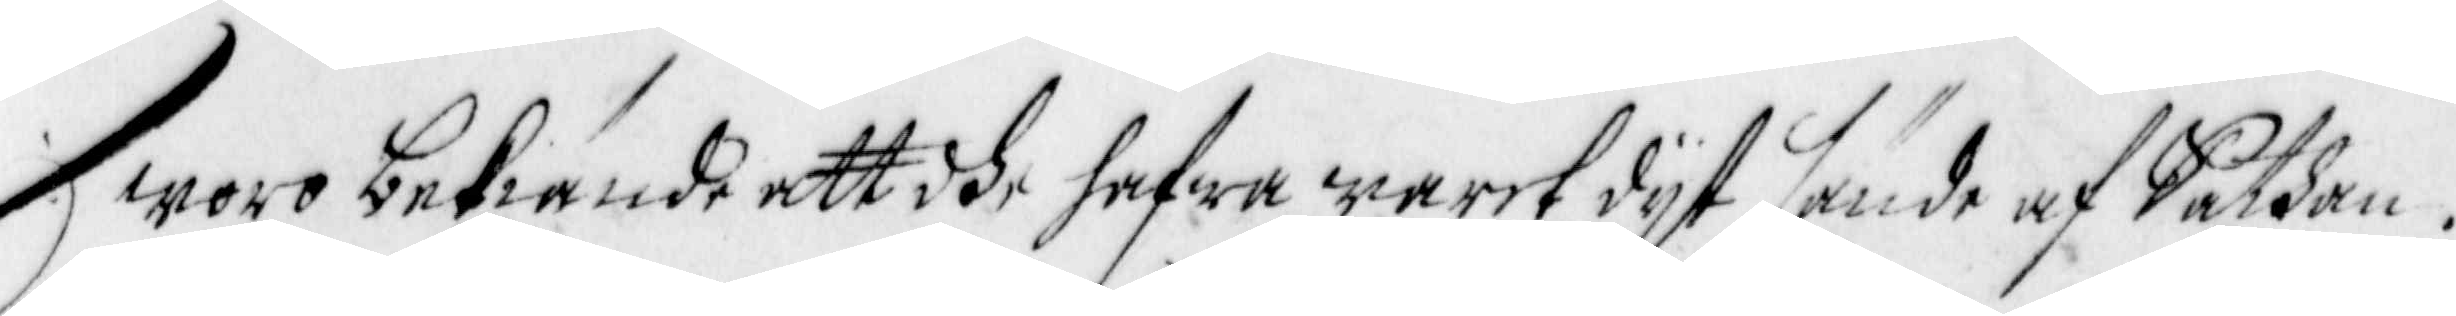woro bekiände att dhe hafwa warit dyt sände af Sathan.
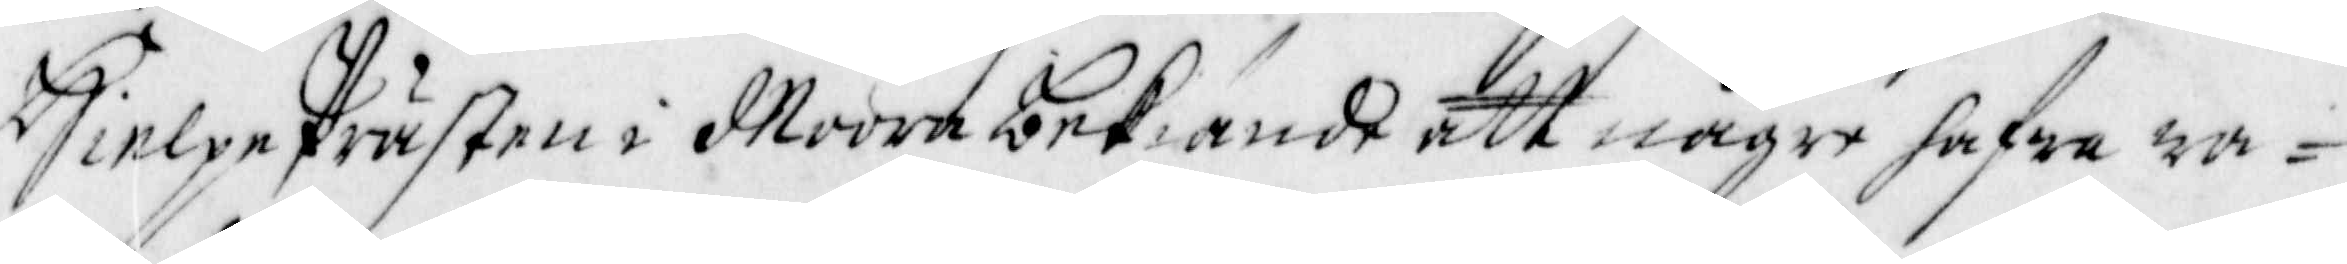HielpePrästen i Moora bekiände att någre hafwa wa¬
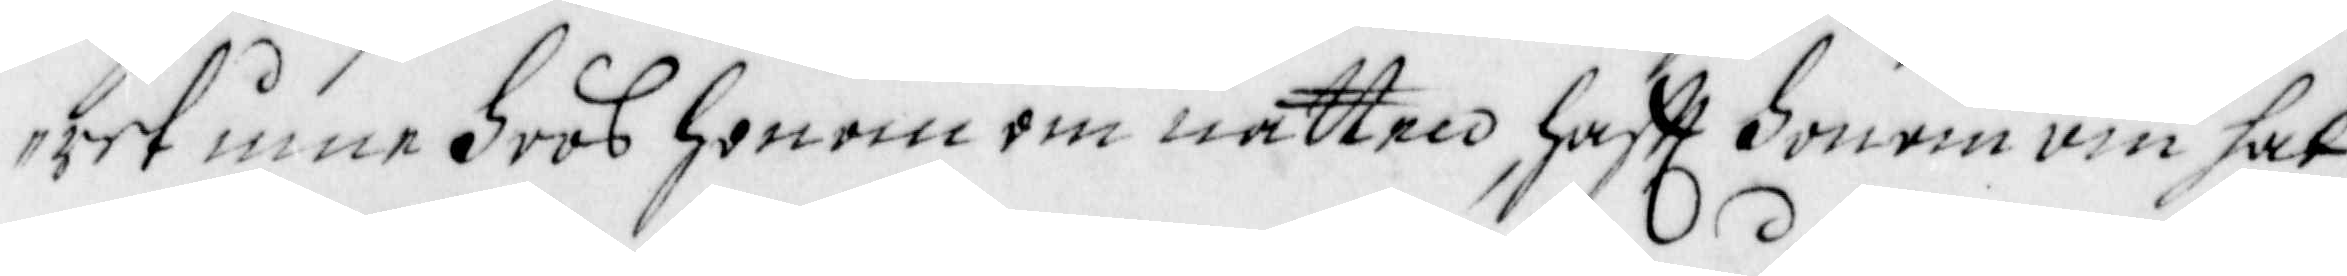ret inne hoos honom om natten, hafft honom om hal¬
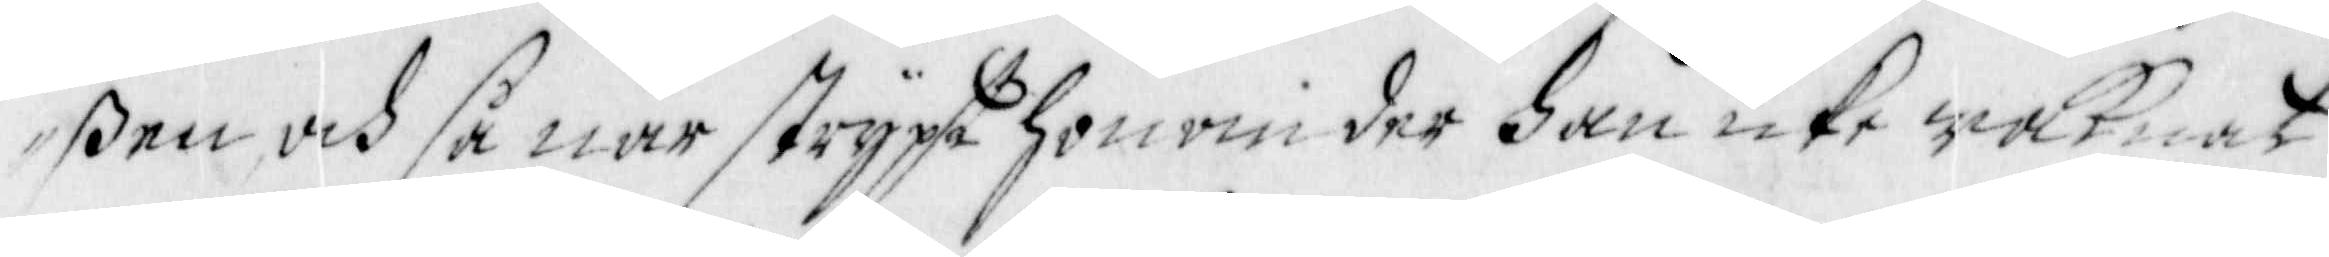ßen och så när strypt honom der han icke waknat
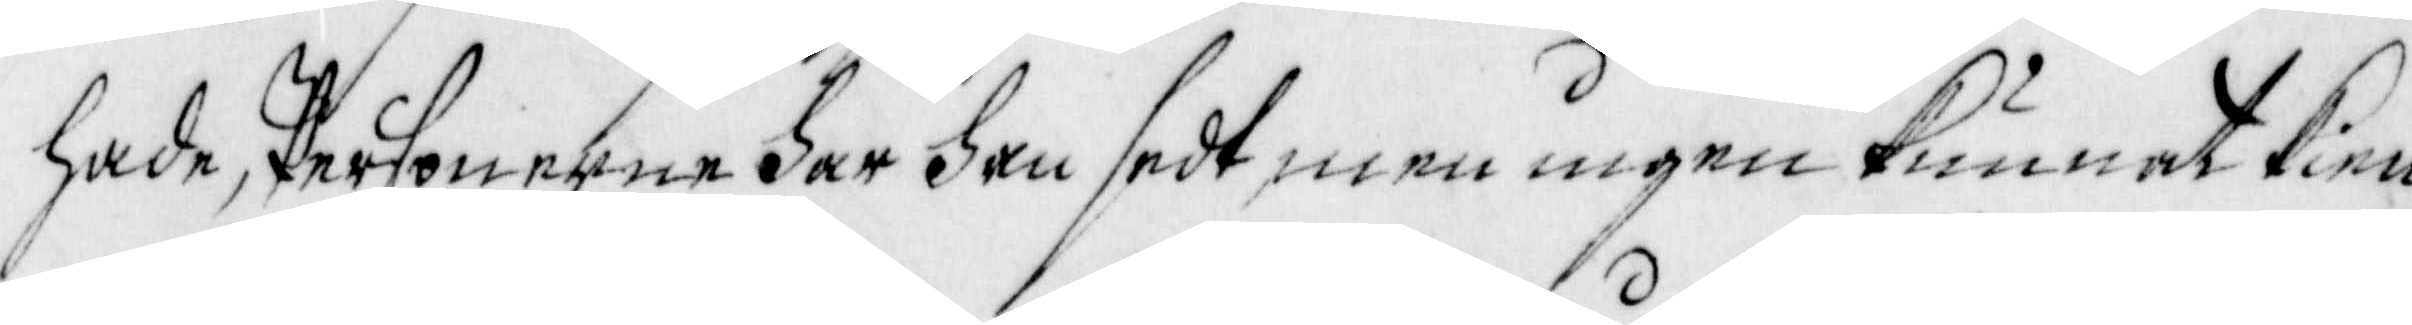hade, Personerne har han sedt, men ingen kunnat kien¬
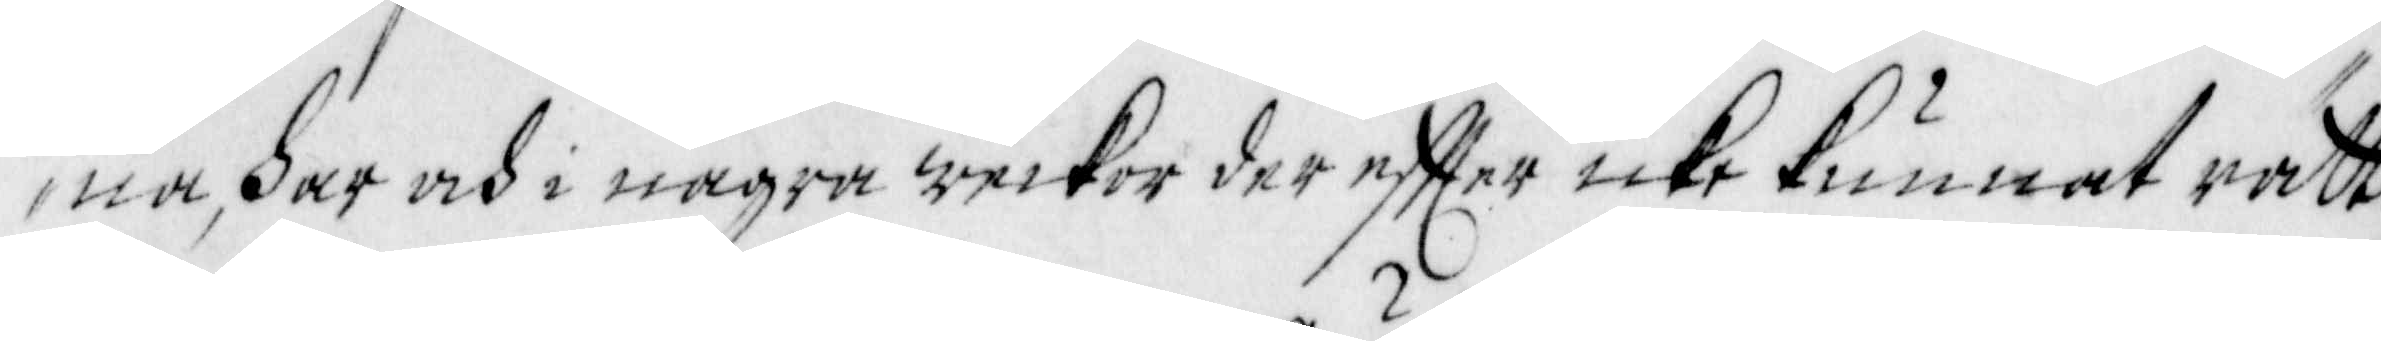na, har och i några weckor der effter icke kunnat rätt
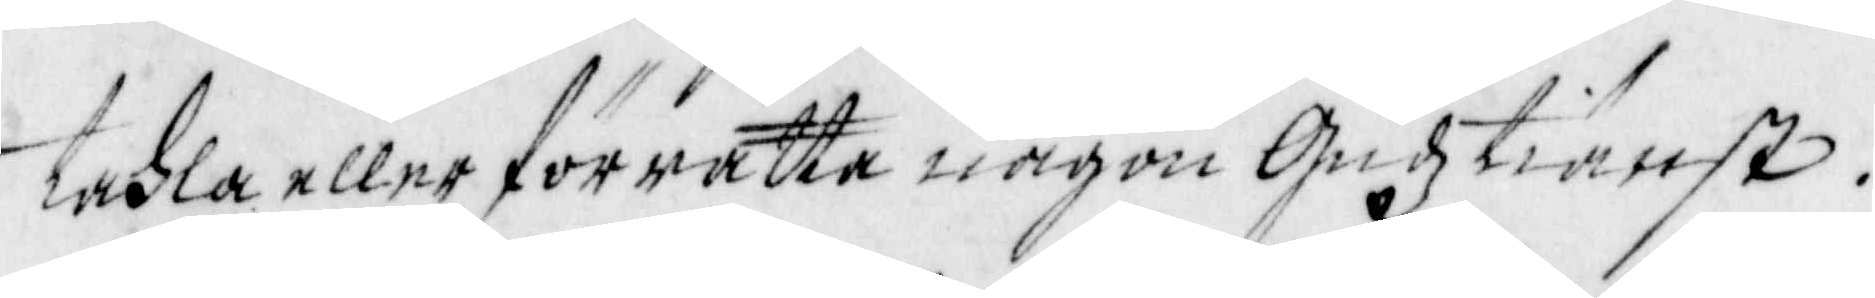tahla eller förrätta någon Gudztiänst.
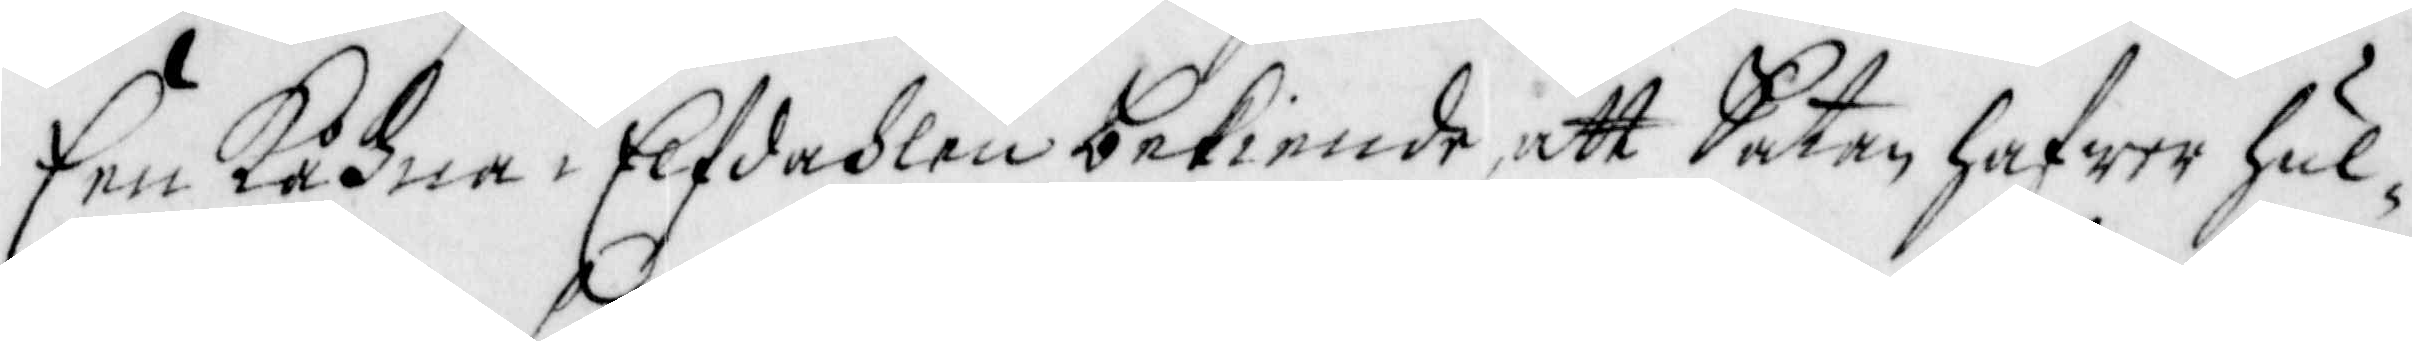Een Kåhna i Elfdahlen bekiende att Satan hafwer hul¬
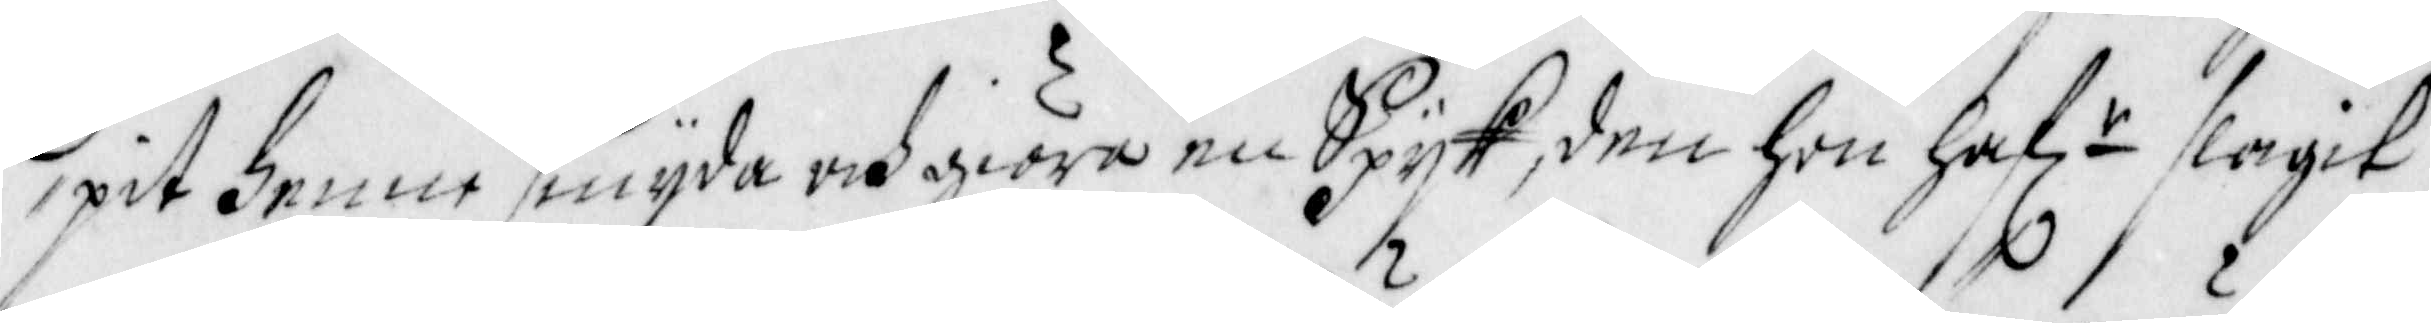pit henne smyda och giöra en Spyk, den hon haf r slagit
